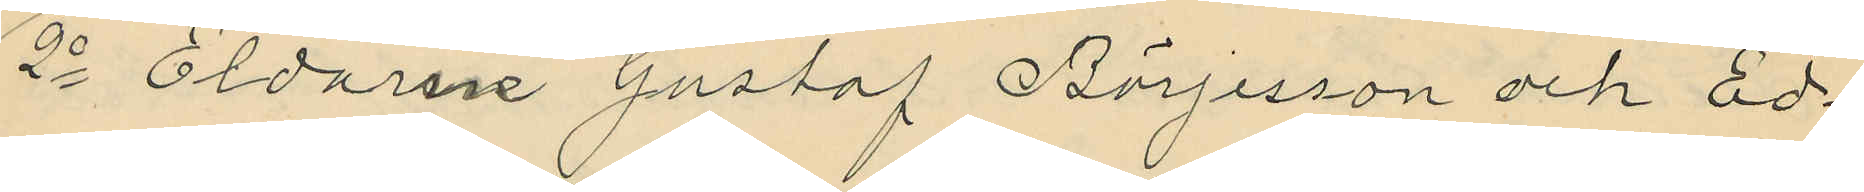2o Eldarne Gustaf Börjesson och Ed¬
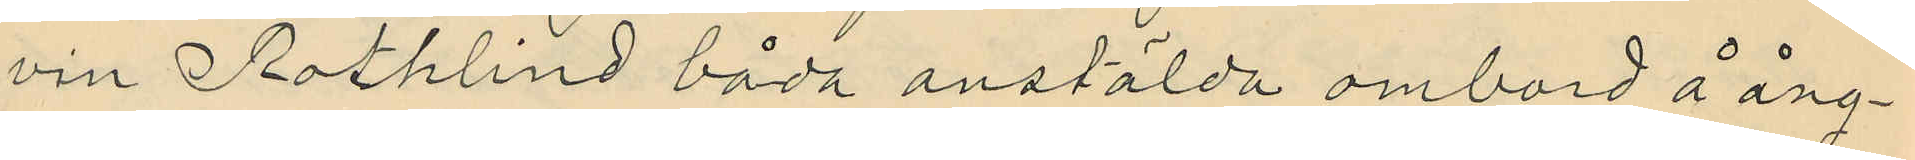vin Rothlind båda anstälda ombord å ång¬
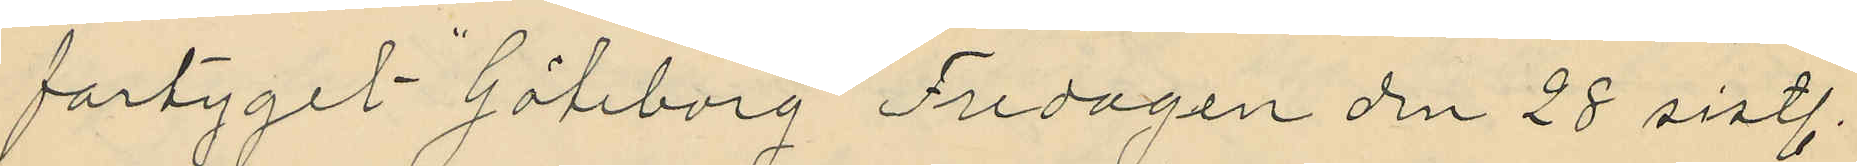fartyget "Göteborg" Fredagen den 28 sistl.
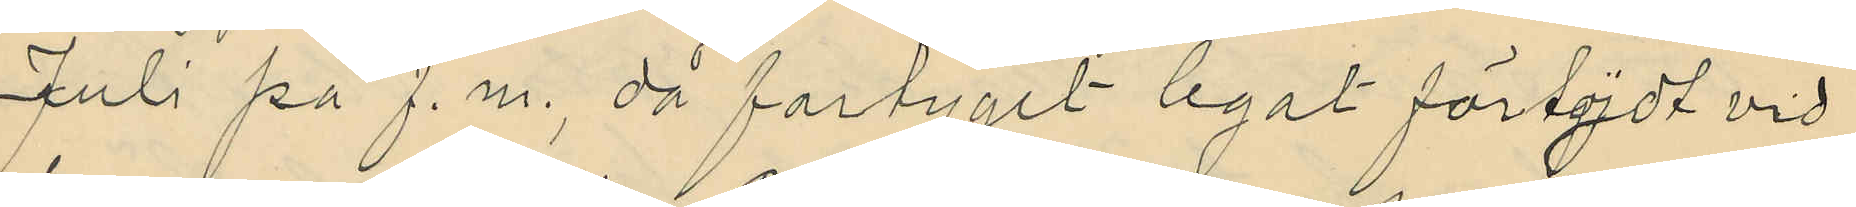Juli på f.m., då fartyget legat förtöjdt vid
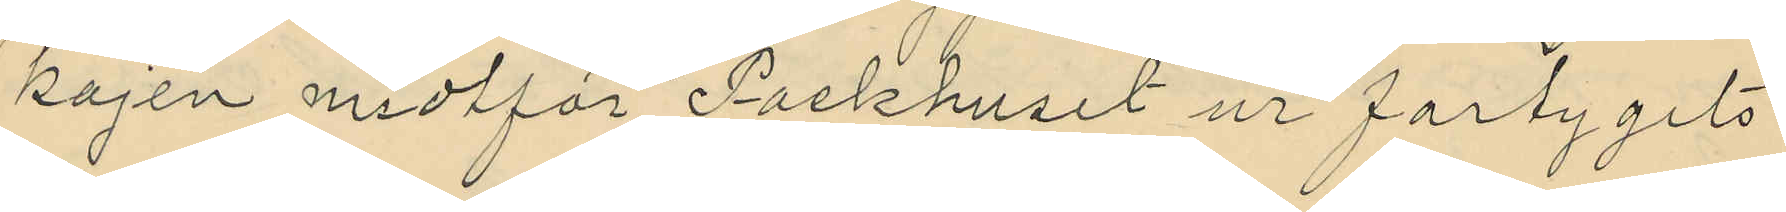kajen midtför Packhuset ur fartygets
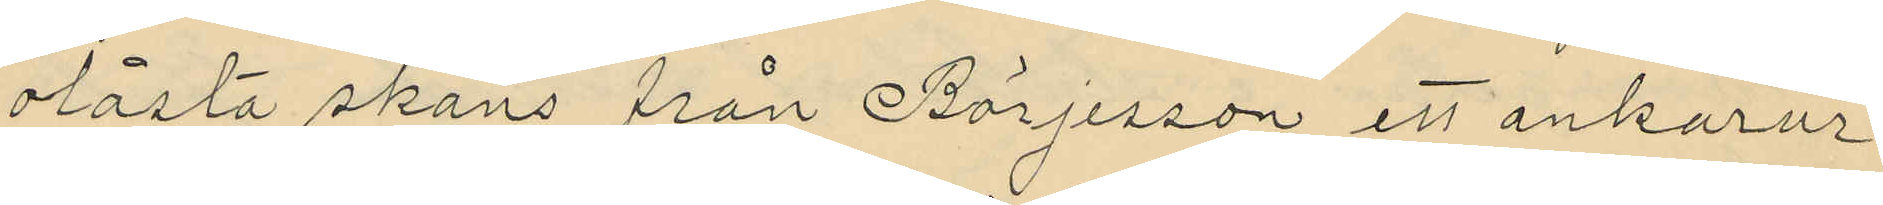olåsta skans från Börjesson ett ankarur
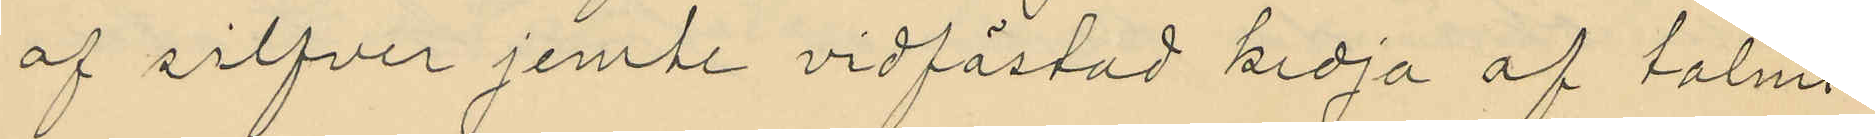af silfver jemte vidfästad kedja af talmi
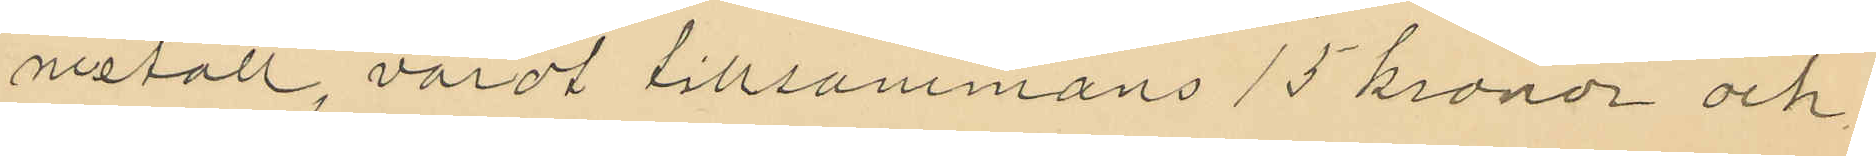metall, värdt tillsammans 15 kronor och
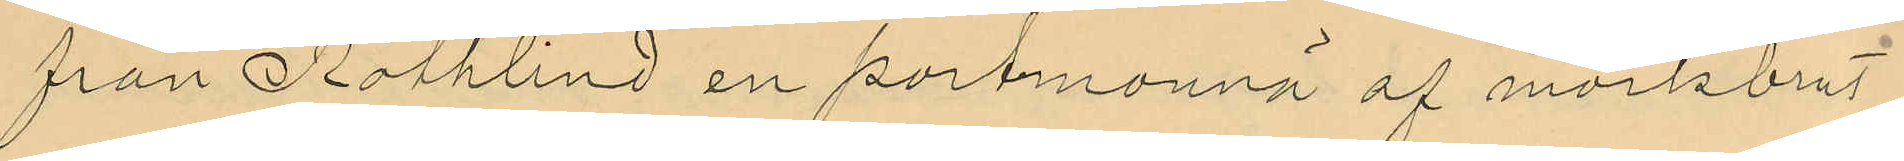från Bothlind en portmonnä af mörkbrunt
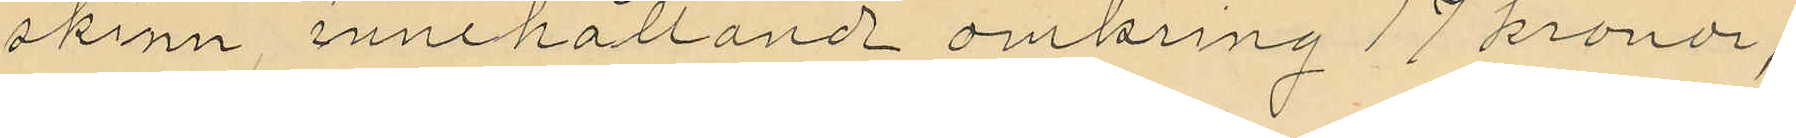skinn, innehållande omkring 17 kronor,
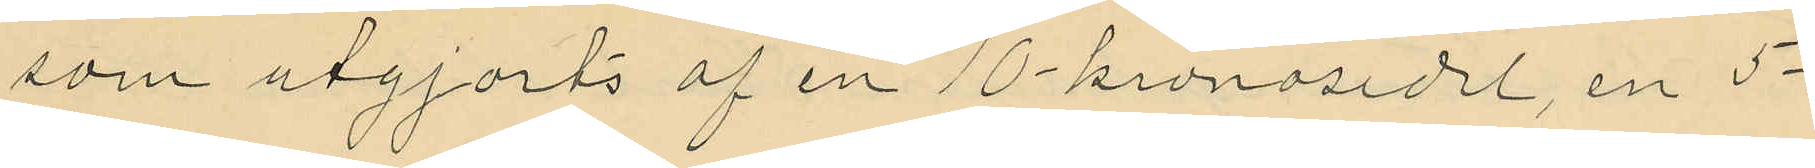som utgjorts af en 10 kronosedel, en 5
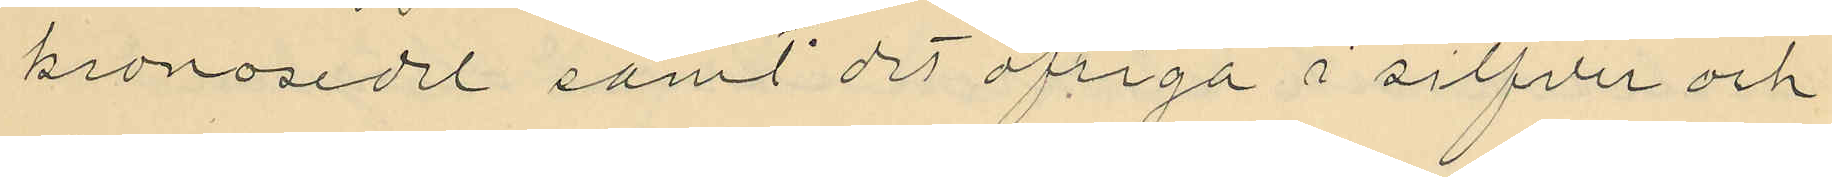kronosedel samt det öfriga i silfver och
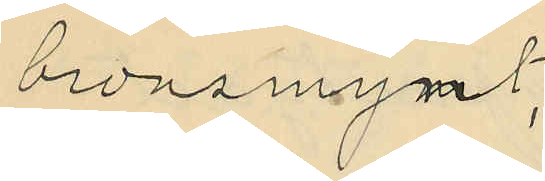bronsmynt.
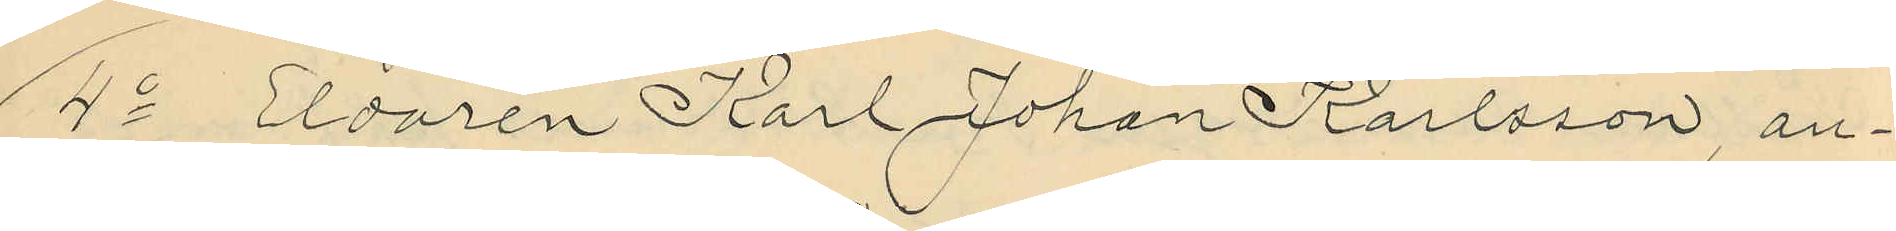4o Eldaren Karl Johan Karlsson, an¬
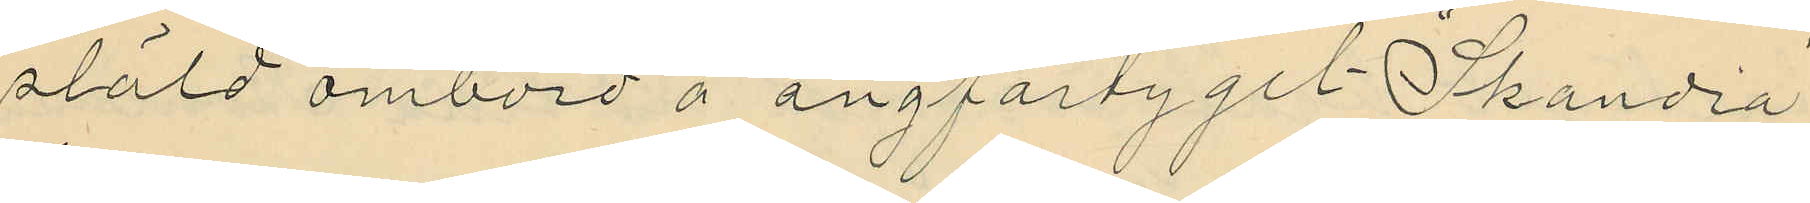stäld ombord å ångfartyget "Skandia"
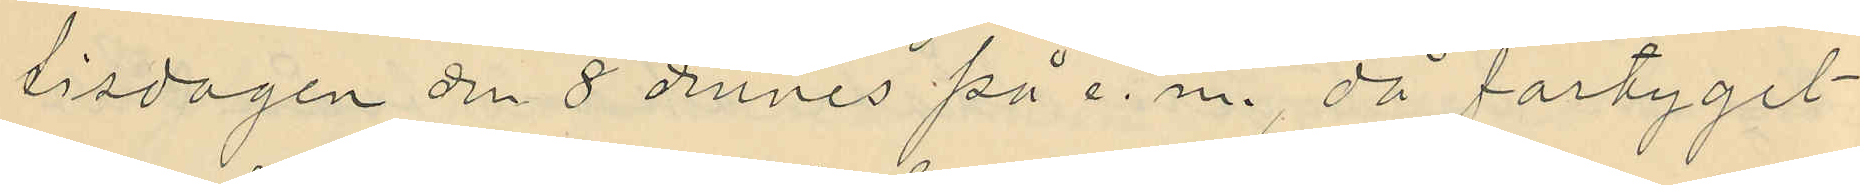tisdagen den 8 dennes på e. m., då fartyget
